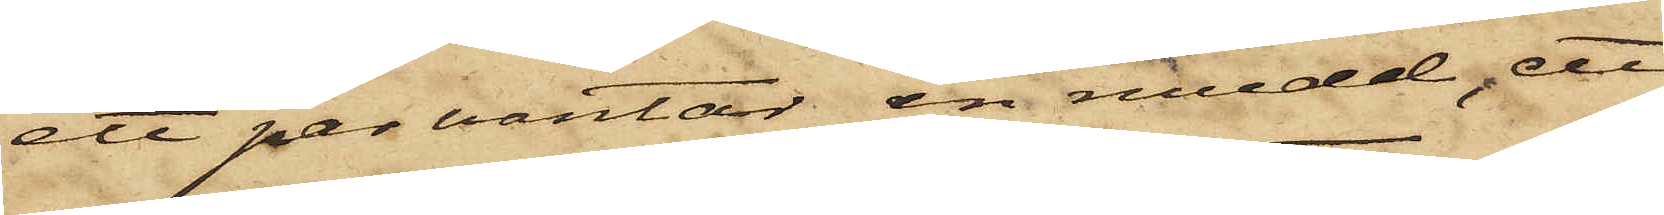ett par vantar, en mudd, ett
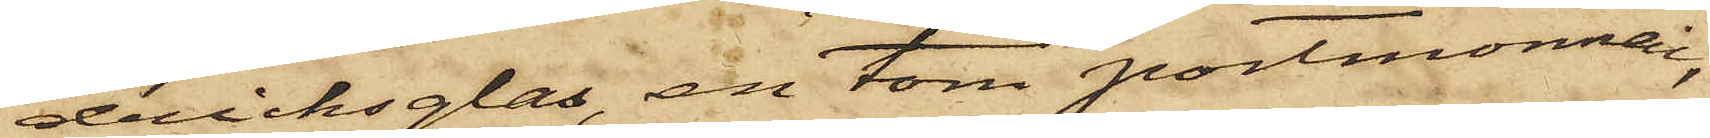dricksglas, en tom portmonnai,
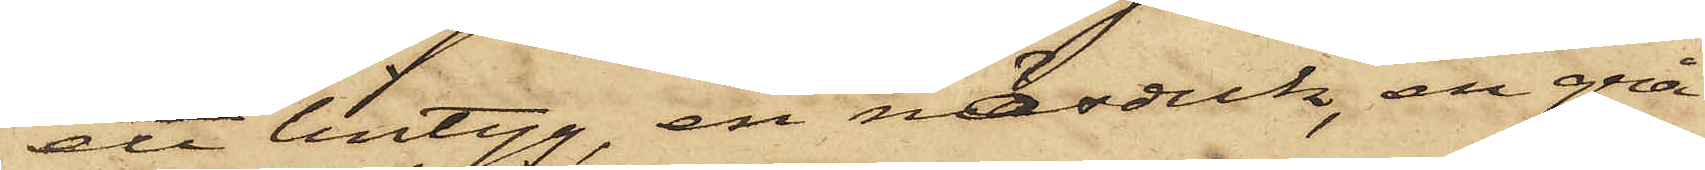ett lintyg, en näsduk, en grå
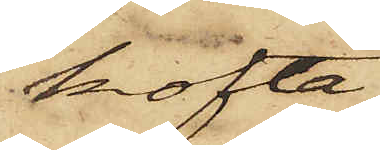kofta,
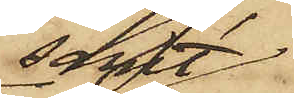samt
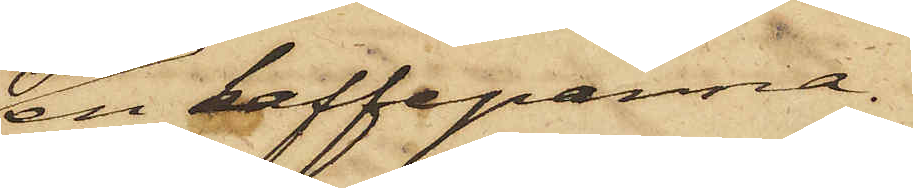en kaffepanna.
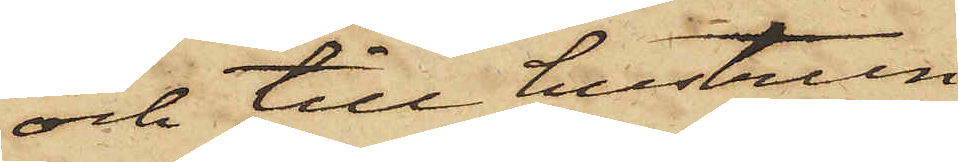och till hustrun
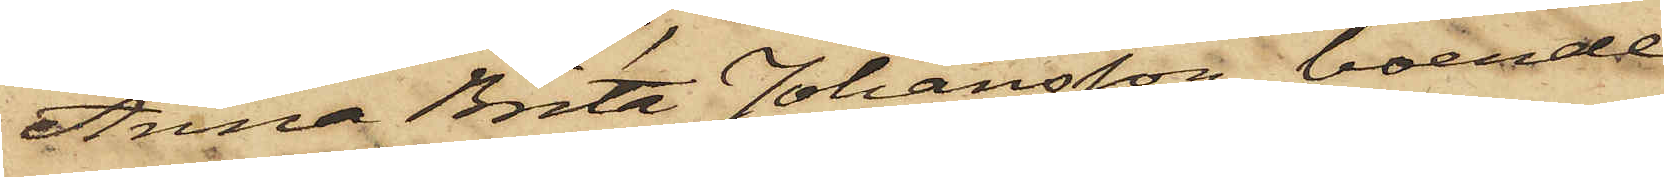Anna Brita Johansson, boende
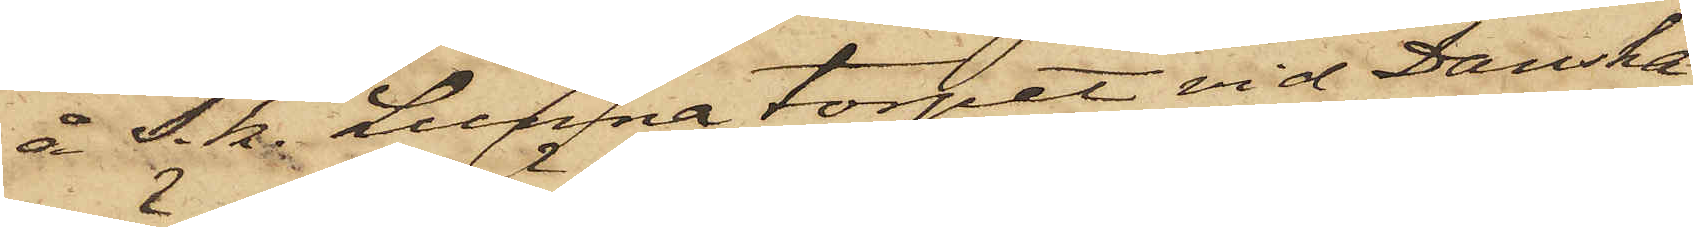å s. k. Lunna torpet vid Danska
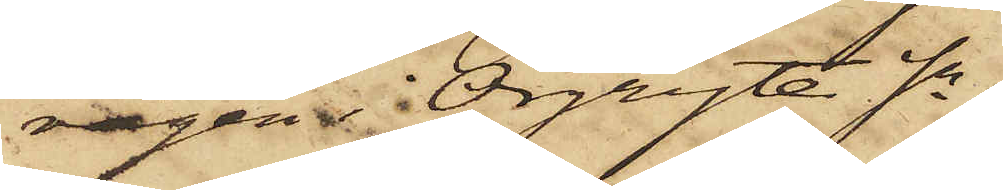vägen i Örgryte Sn,
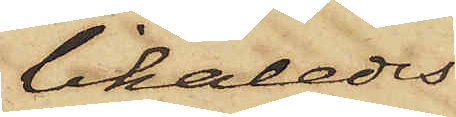likaledes
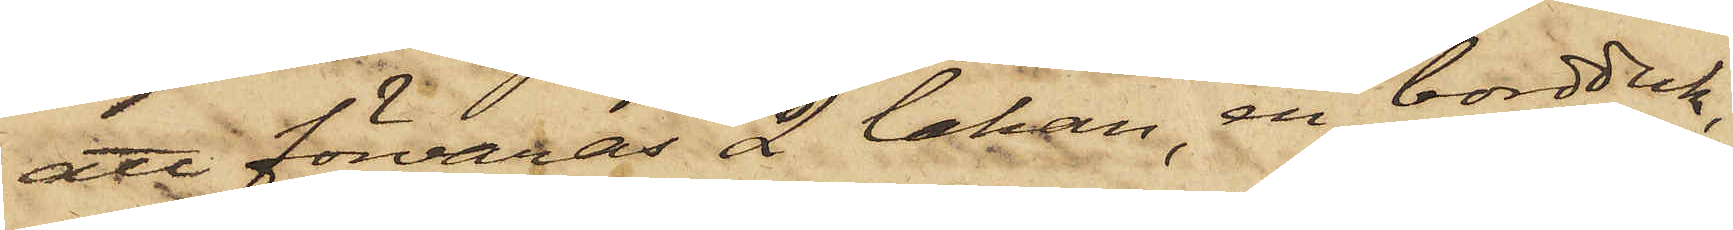att förvaras 2 lakan, en bordduk,
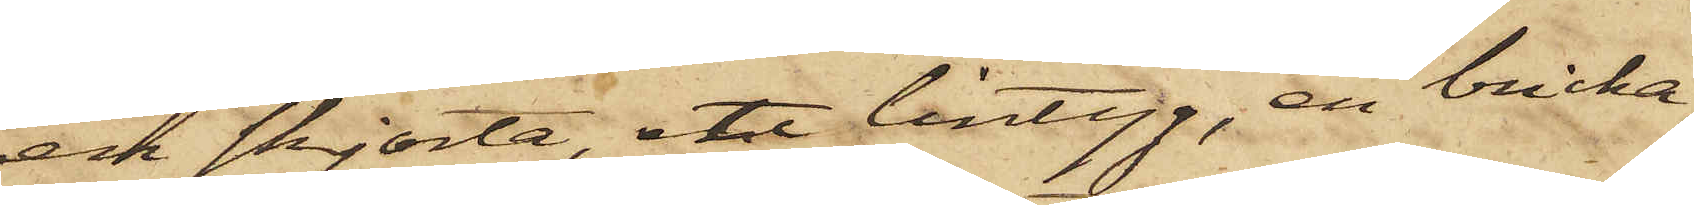en skjorta, ett lintyg, en bricka,
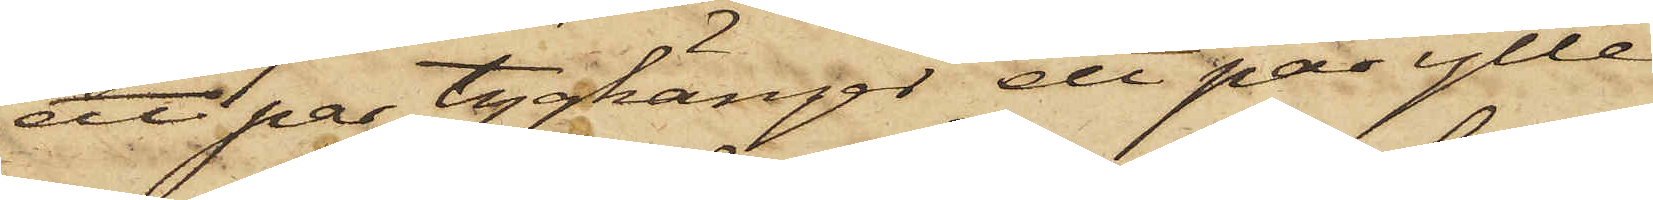att par tygkänger, ett par ylle¬
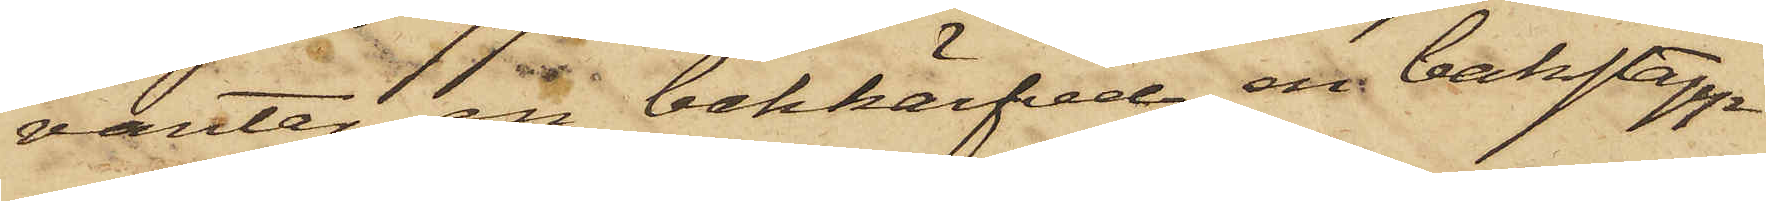vantar, en bakhärfvel, en bakstapp
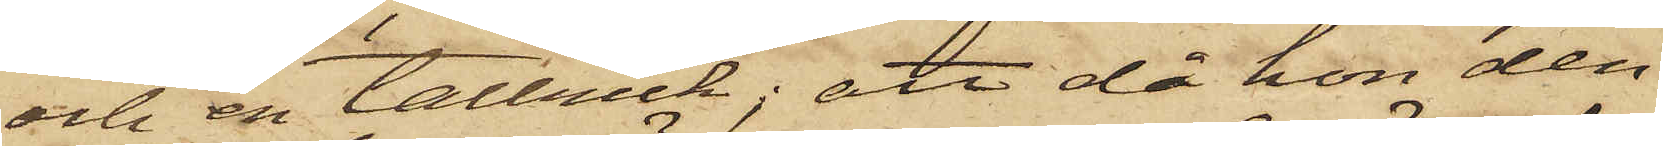och en tallrick; att då hon den
